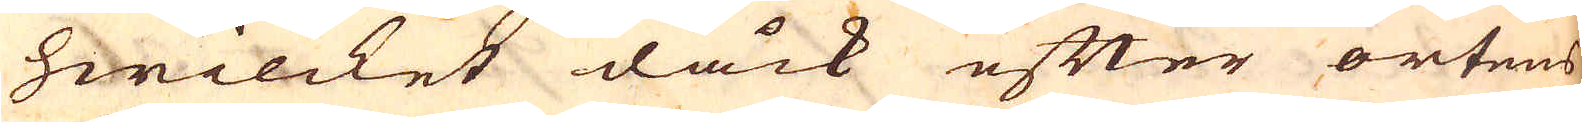hwilcket dåck efter ortens
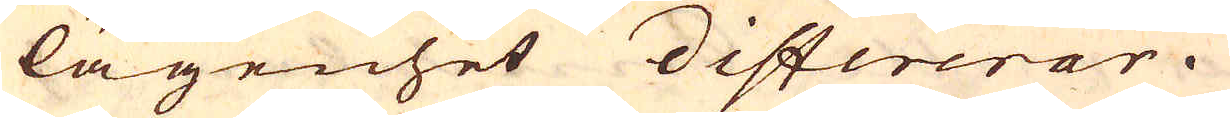lägenhet differerar.
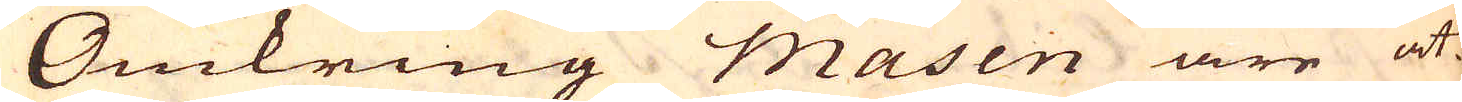Omkring Masen äre åt-
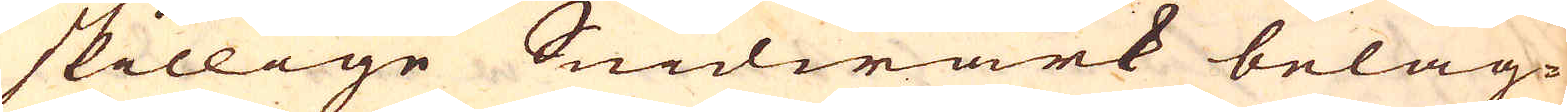skillige Snidwärk beläg-
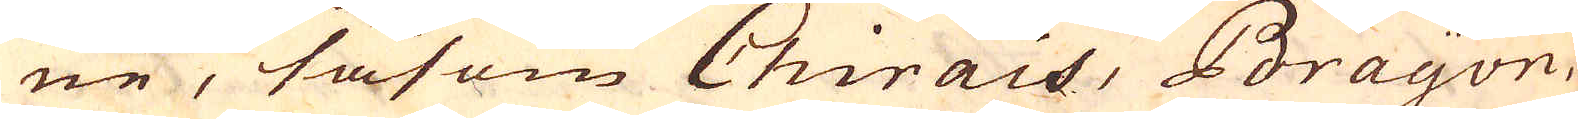ne, såsom Chirais, Brayon,
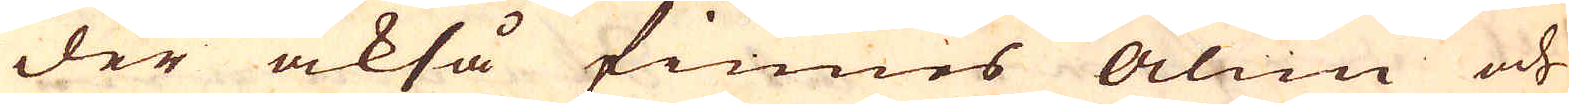der också finnes alun och
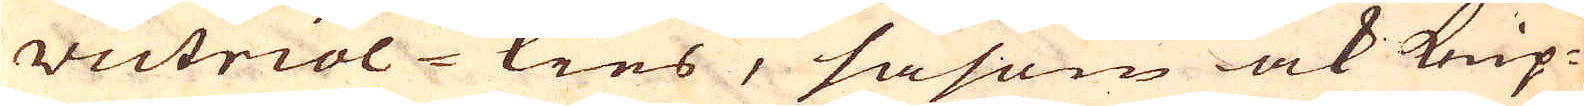victriol-kies, såsom ock knip-
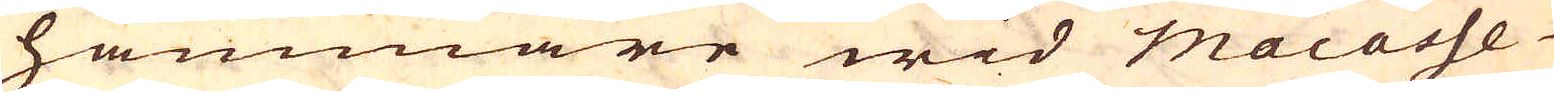hammare wid macasse
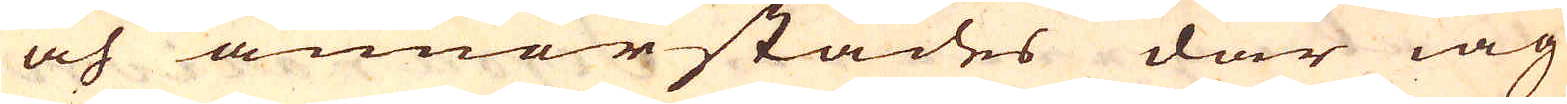och annorstädes där iag
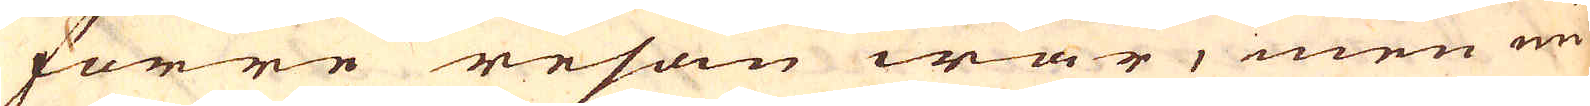förre resan war, men nu
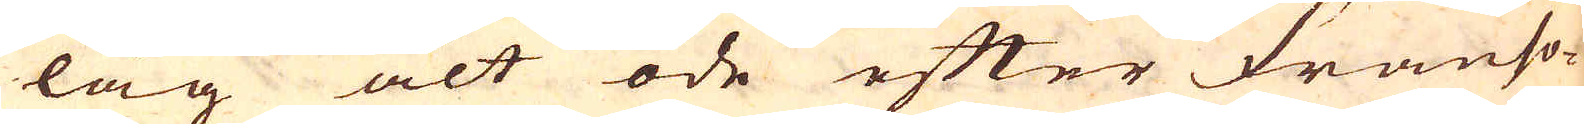låg alt öde efter Franso-
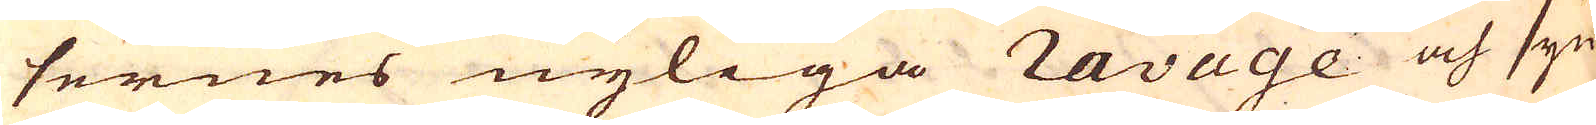sernes nyliga ravage och syn-
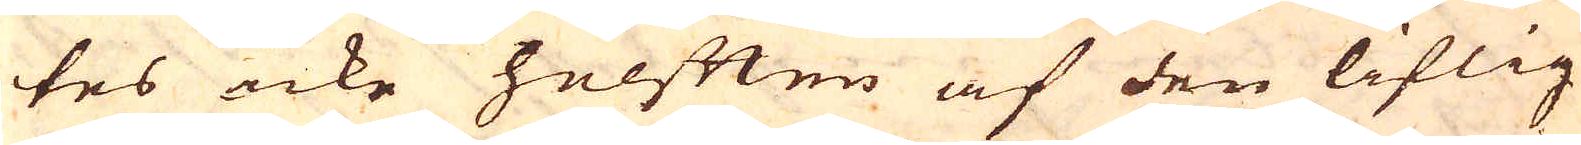tes icke helften af den liflig
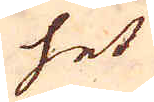het
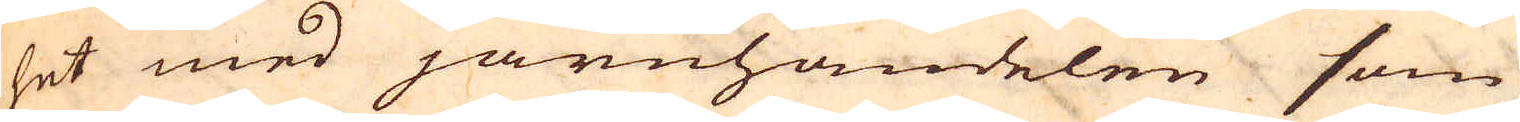het med järnhandelen som
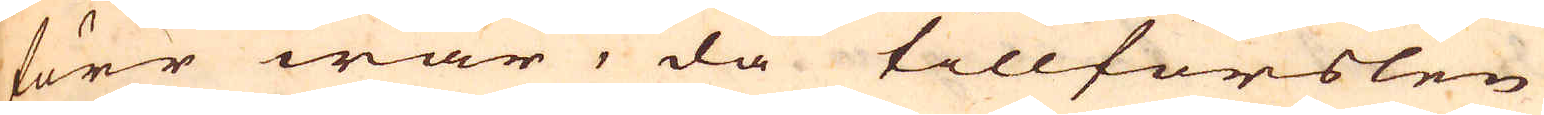förr war, då tillförslen
